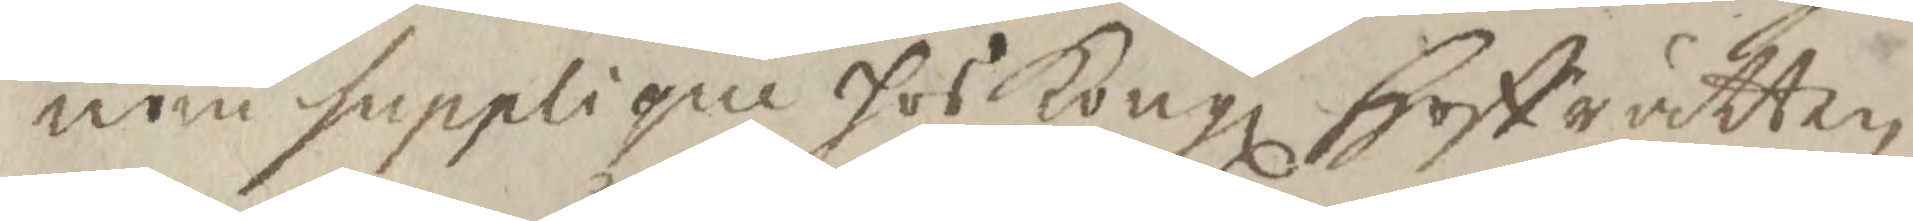nom supplique hos Kongl Hoffrätten
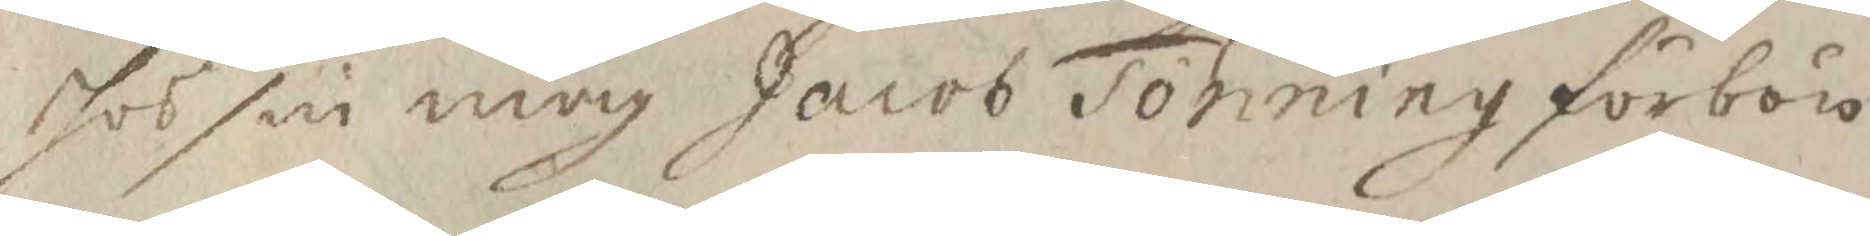hos sin måg Jacob Tönning förbön
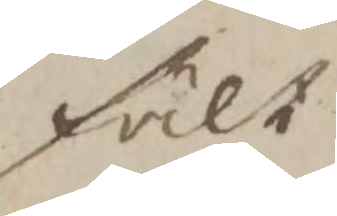fält
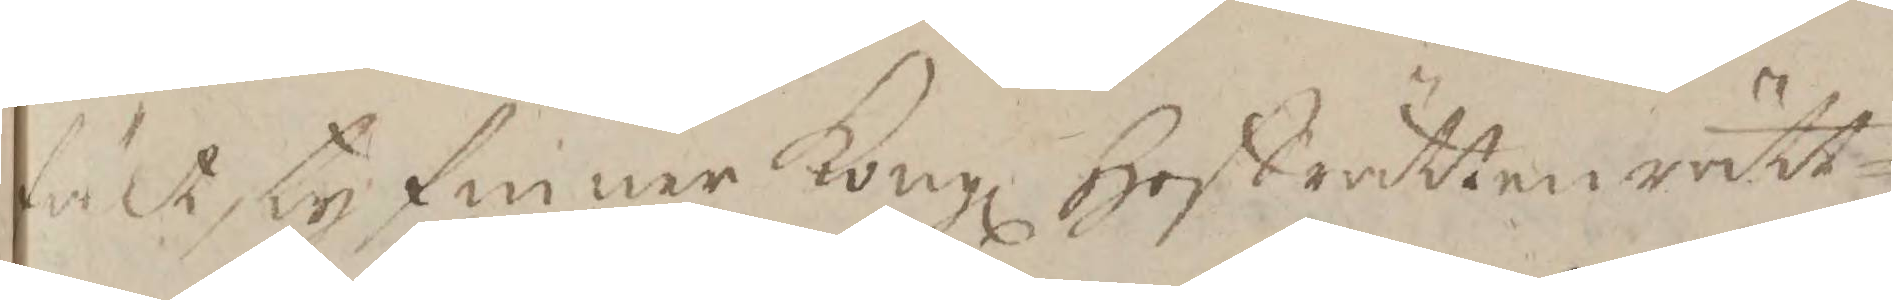fält, ty finner Kongl hoffrätten rätt¬
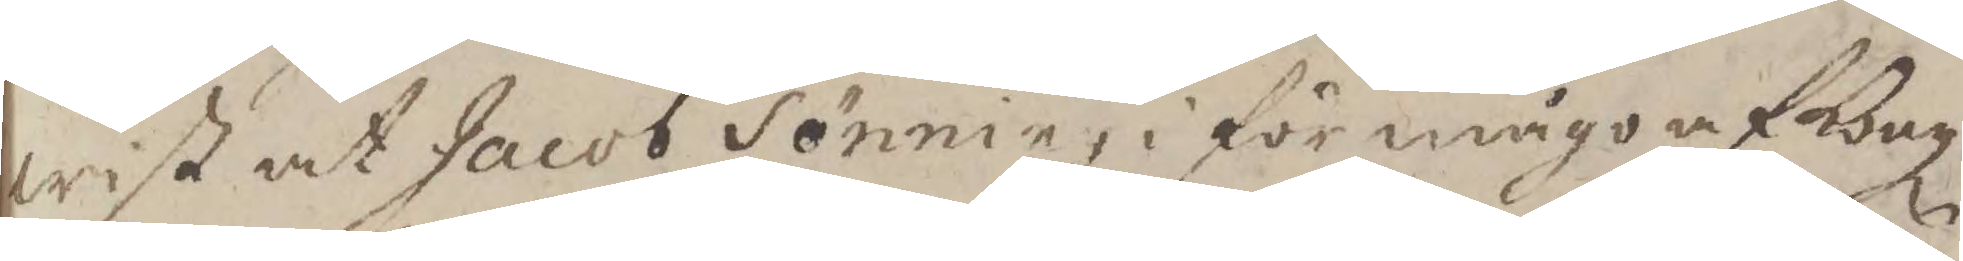wist at jacob Tönning i förmågo af Kongl
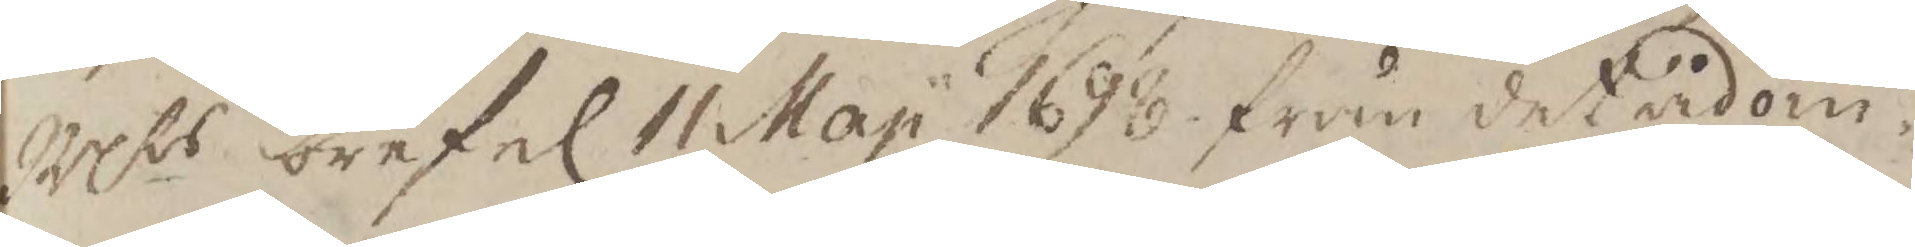Mts bref af 11 Maji 1698 från det ådöm¬
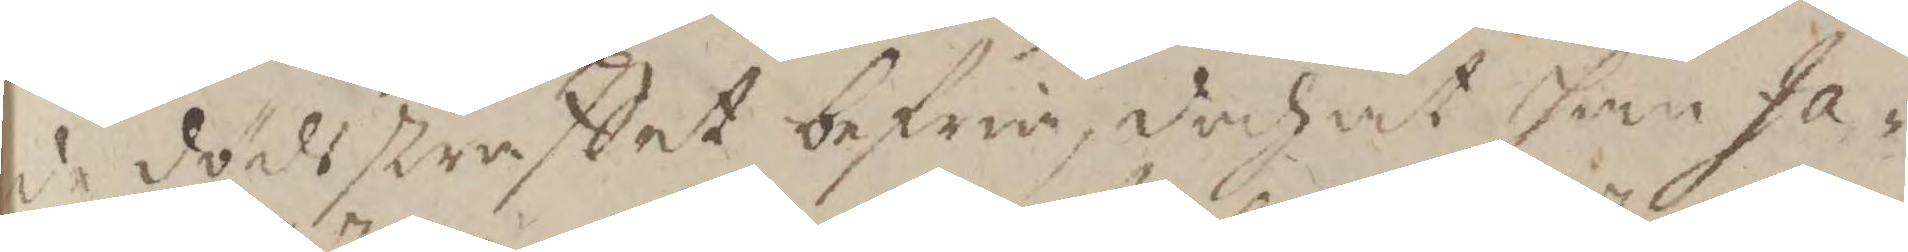de dödsstraffet befria, doch at han Ja¬
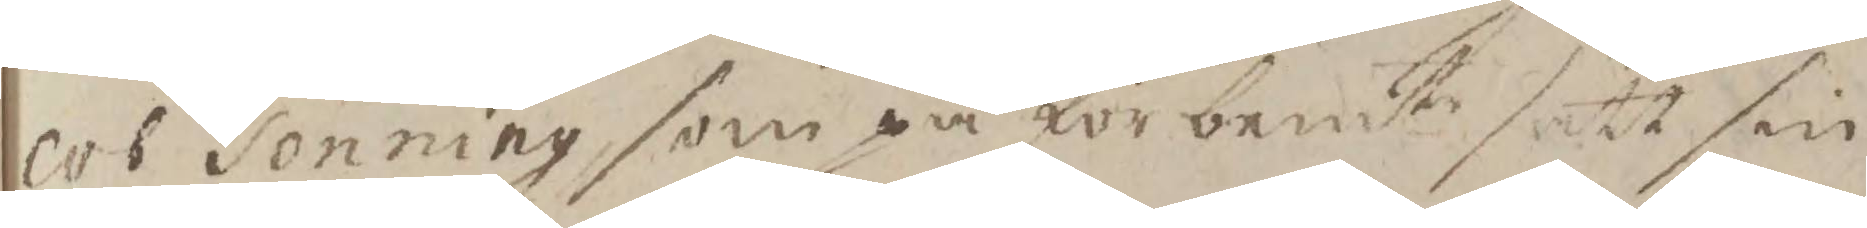cob Tönning som på förbemte sätt sin
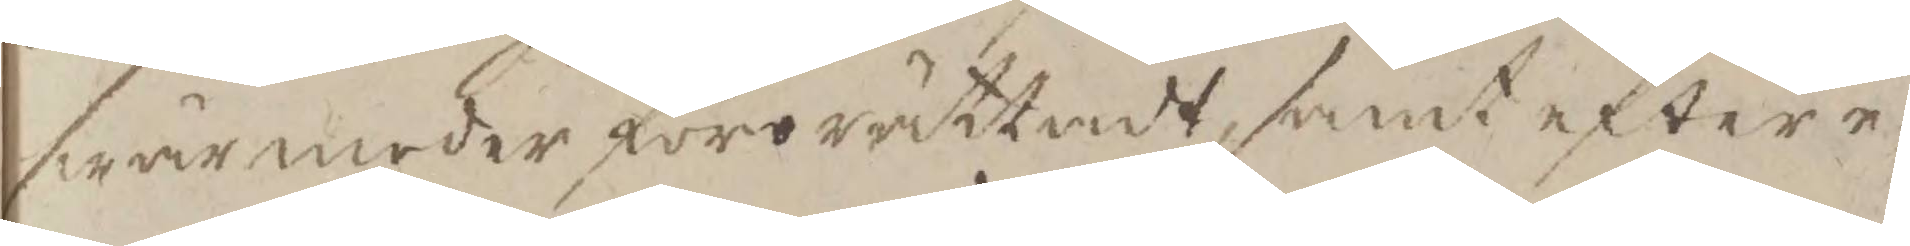swärmoder förorättadt samt efter e¬
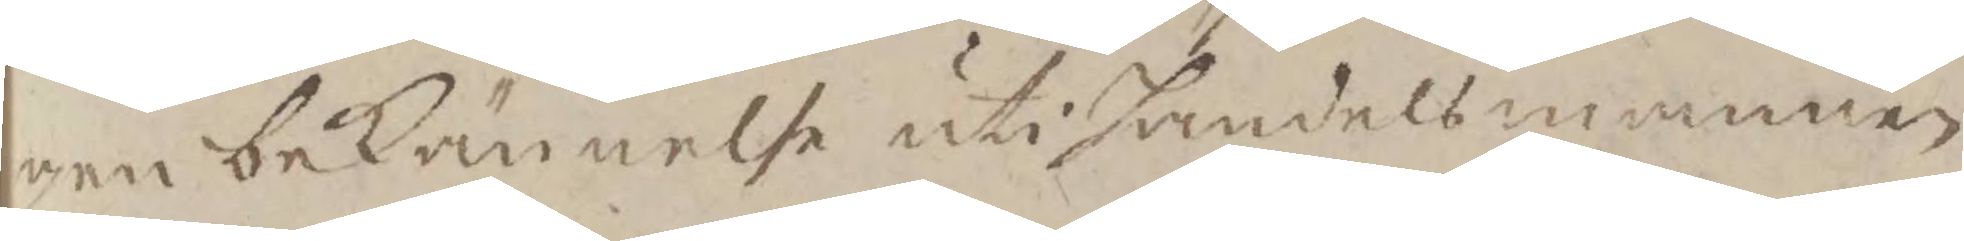gen bekännelse uti handelsmannen
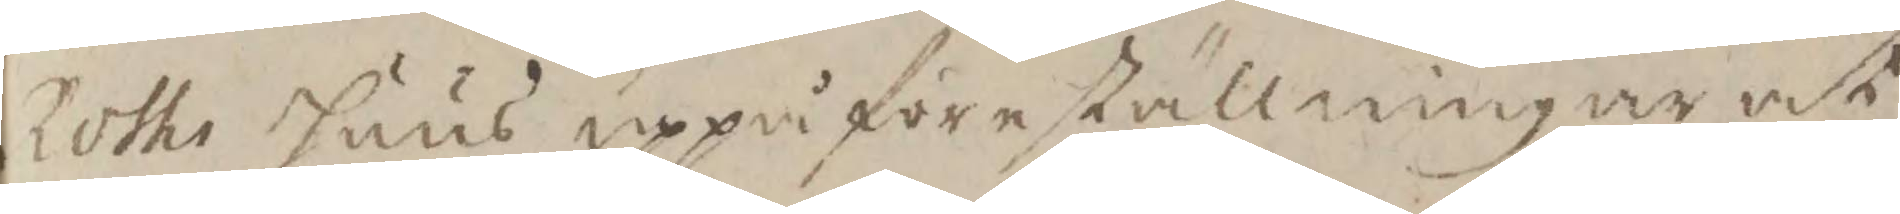Roths huus uppå föreställningar at
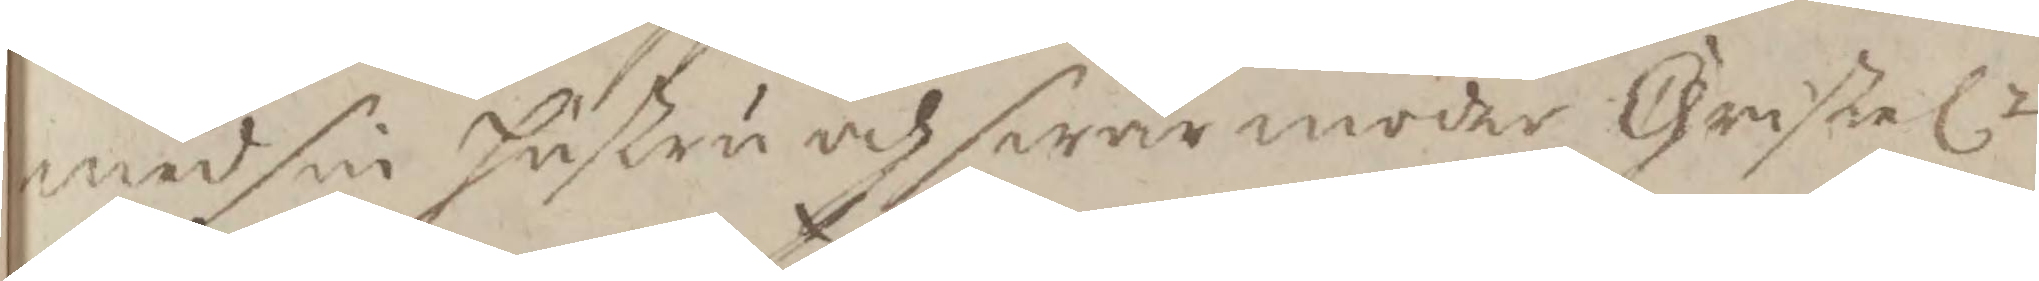med sin hustru och swärmoder Christelt
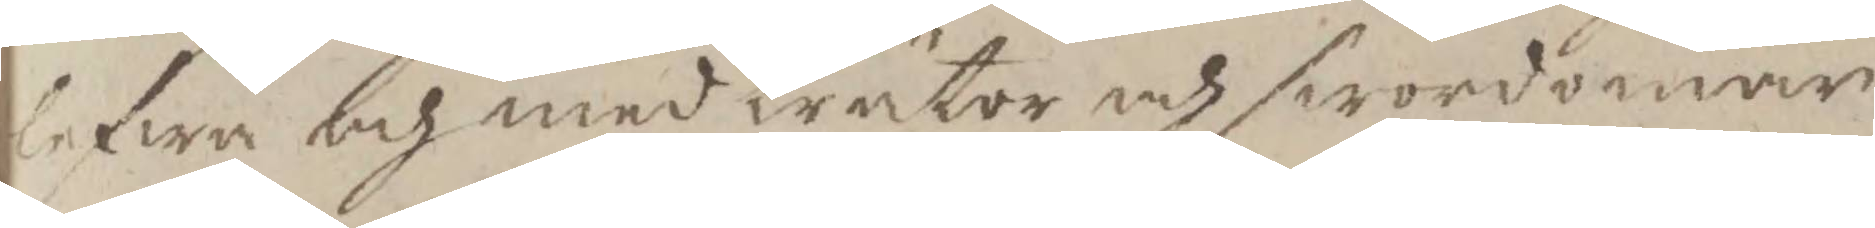lefwa och med trätor och swordomar
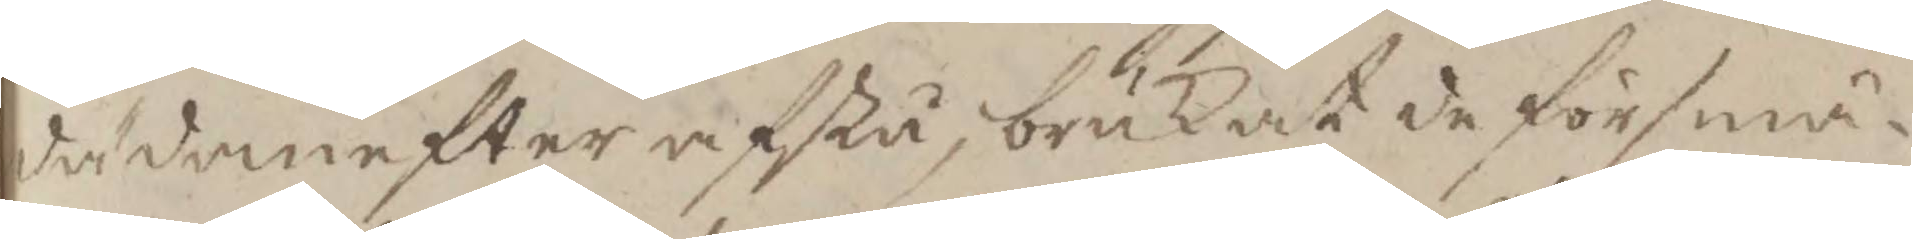dädanefter afstå, brukat de sörsmä¬
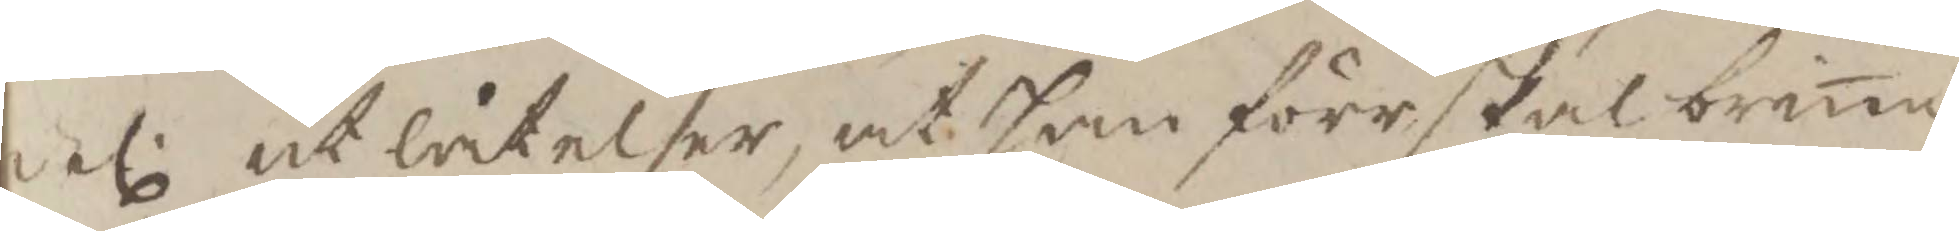del utlåtelser, at han förr skal brina
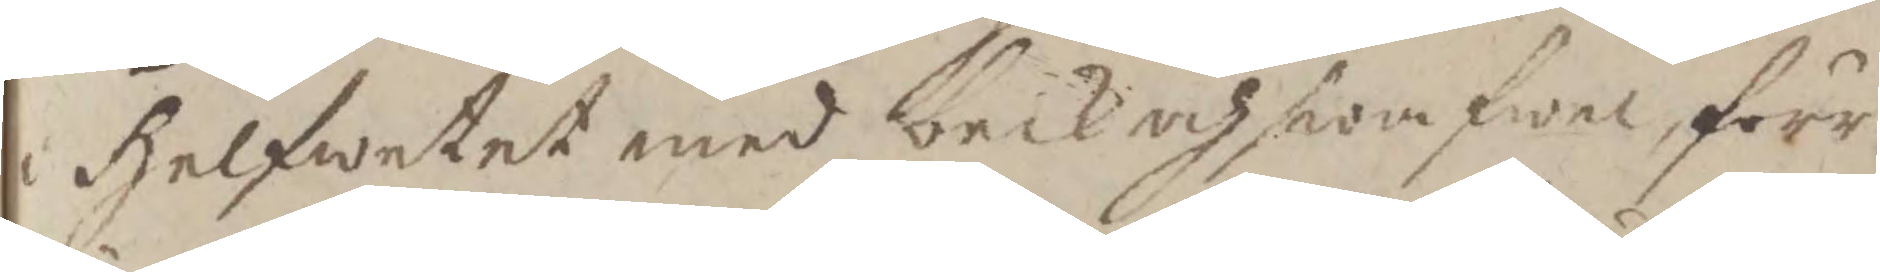i helwetet med beck och swafwel, förr
